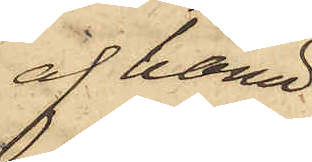af hämd
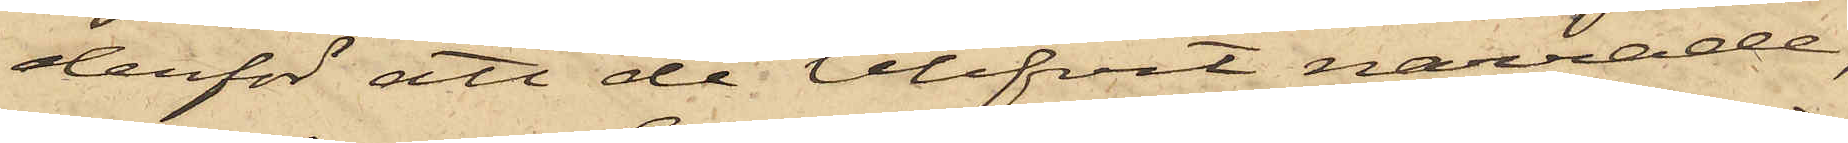derför att de blifvit narrade,
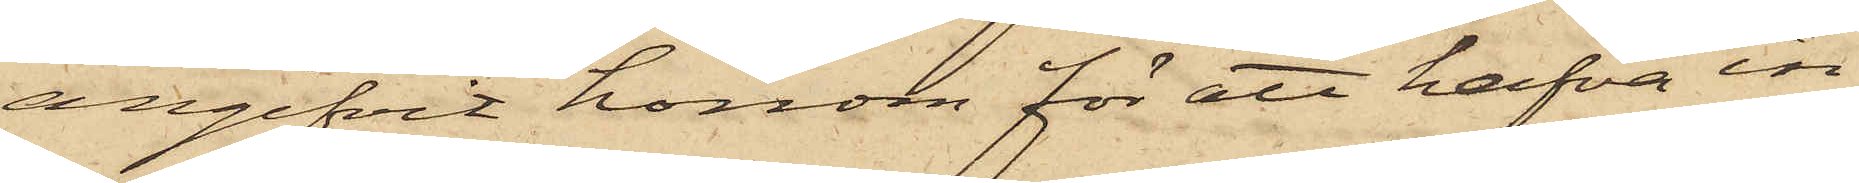angifvit honom för att hafva in¬
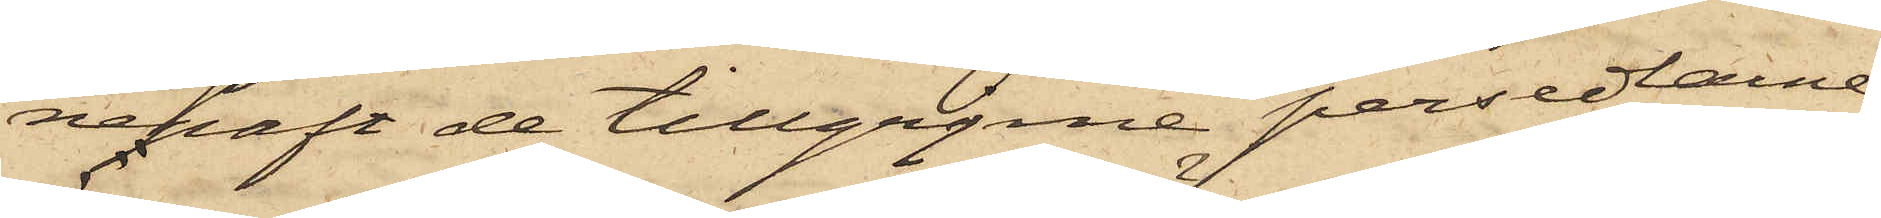nehaft de tillgripne persedlarne,
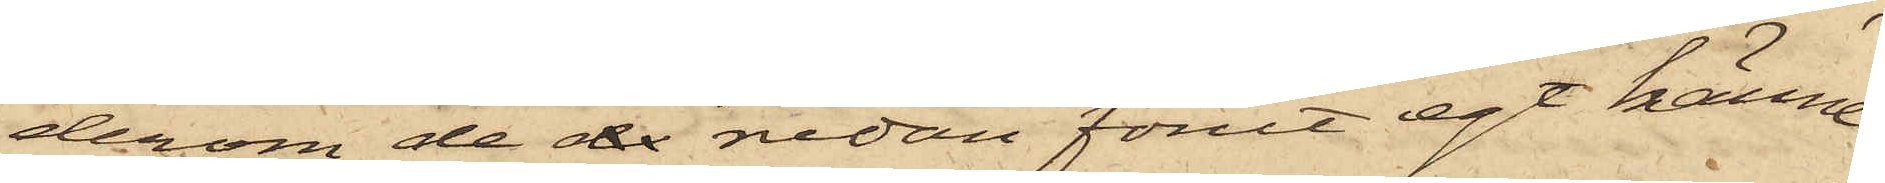derom de de redan förut egt känne¬
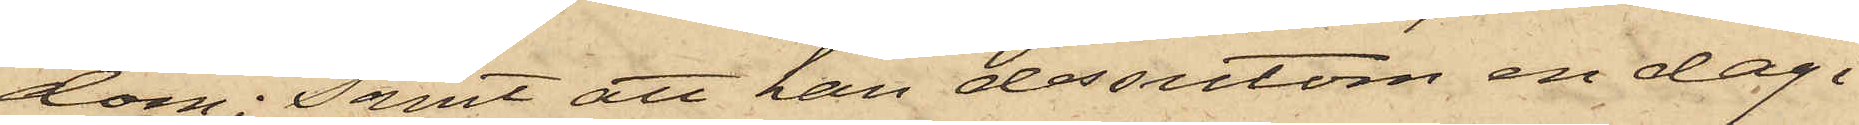dom; samt att han dessutom en dag i
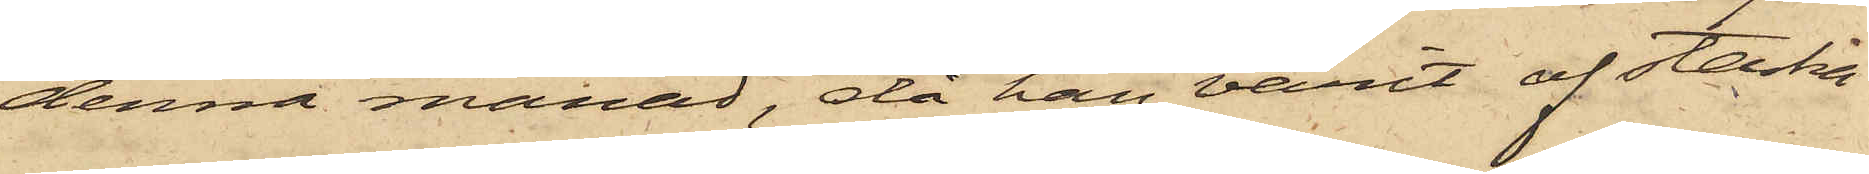denna månad, då han varit af starka
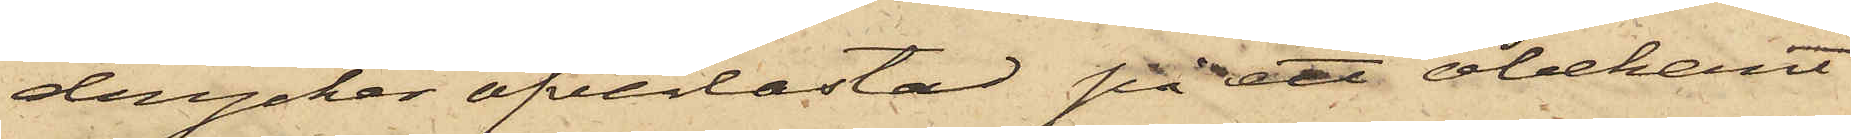drycker öfverlastad på ett obekant
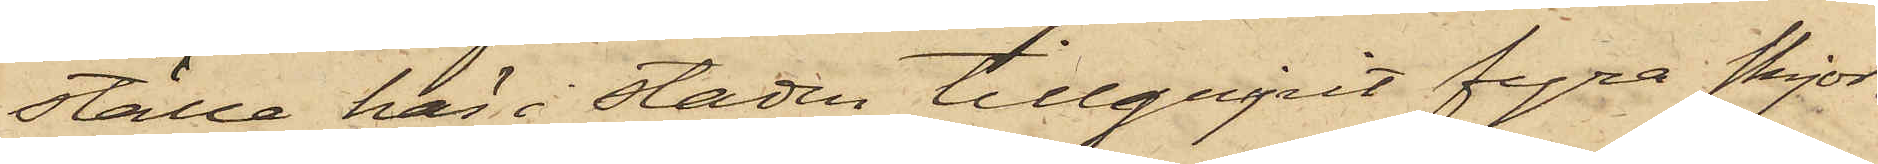ställe här i staden tillgripit fyra skjor¬
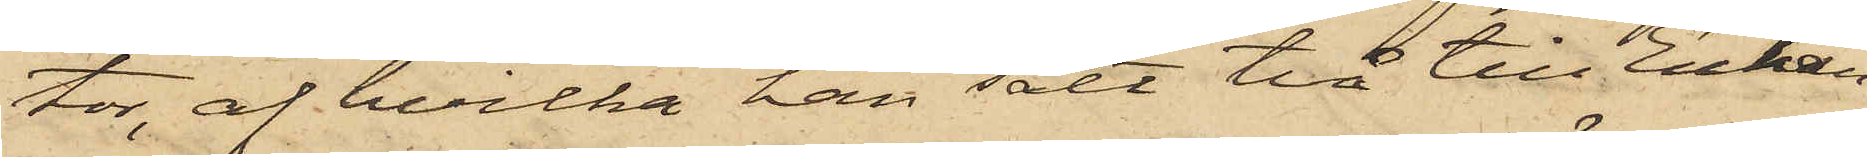tor, af hvilka han sålt två till Enkan
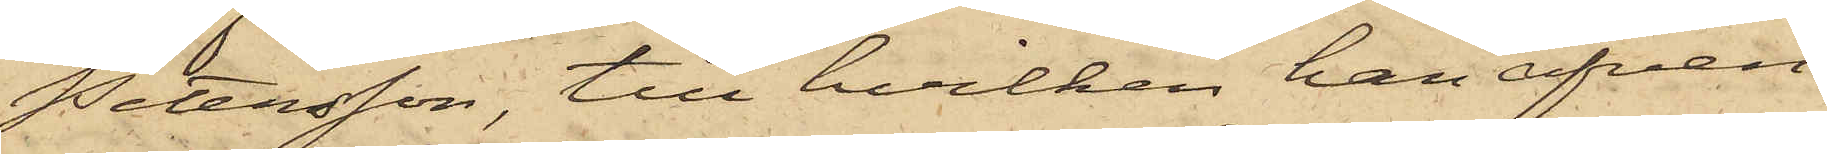Petersson, till hvilken han äfven
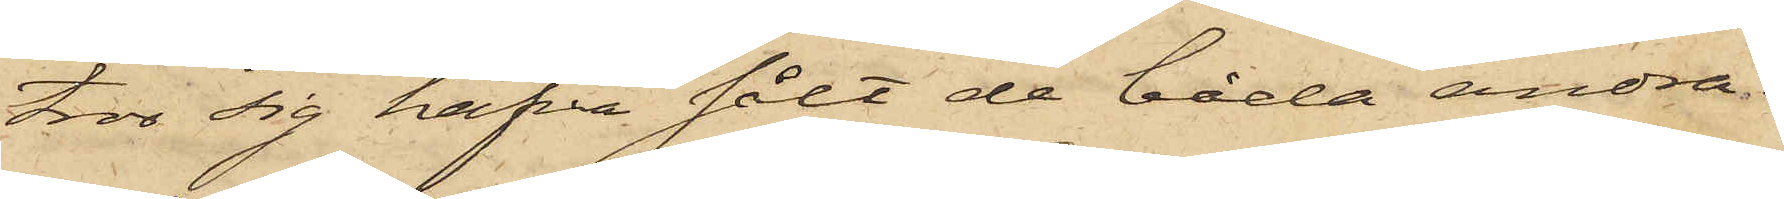tror sig hafva sålt de båda andra.
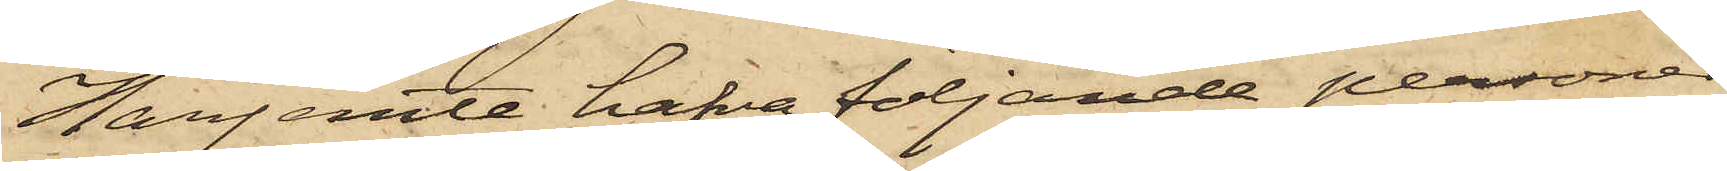Härjemte hafva följande personer
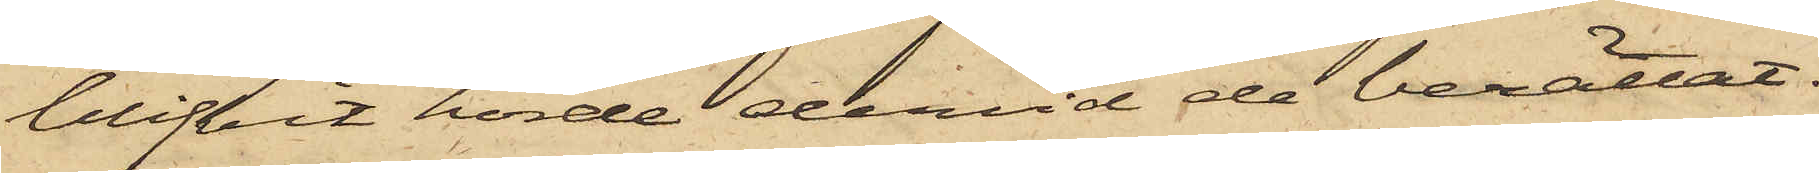blifvit hörde dervid de berättat:
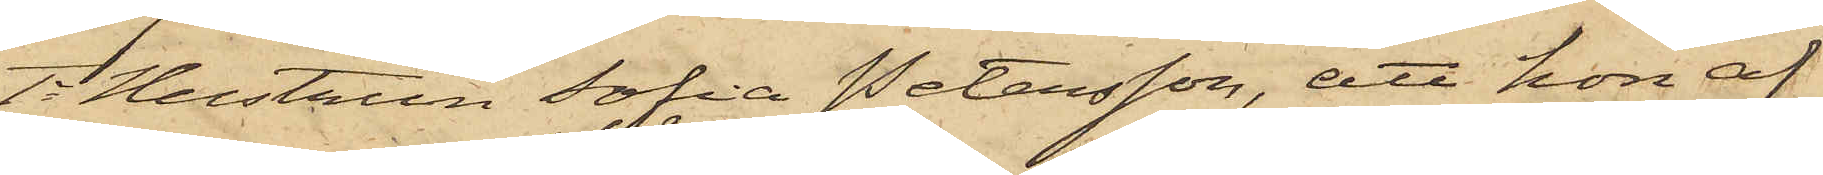1o Hustrun Sofia Petersson, att hon af
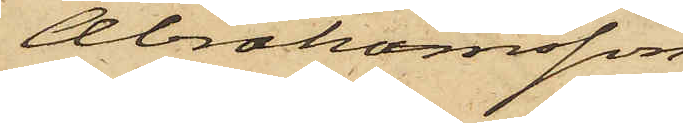Abrahamsson
